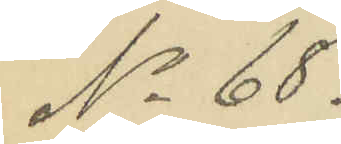No 68.
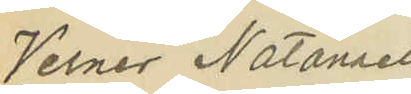Verner Natanael
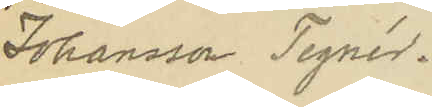Johansson Tegnér.
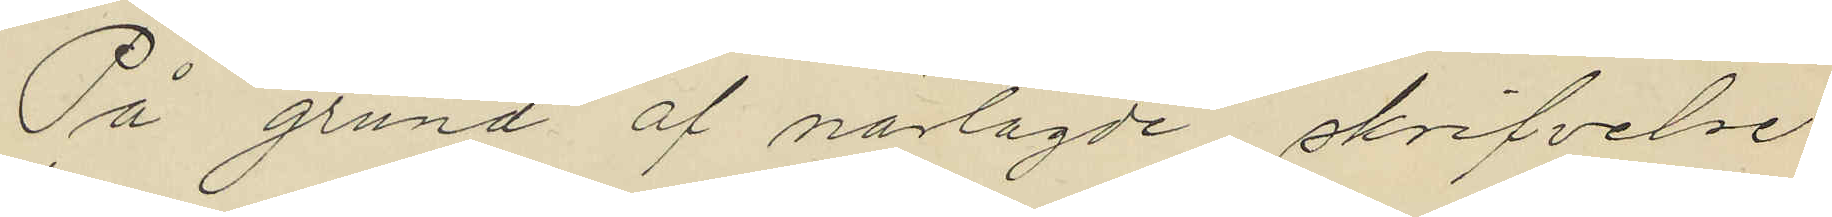På grund af närlagde skrifvelse
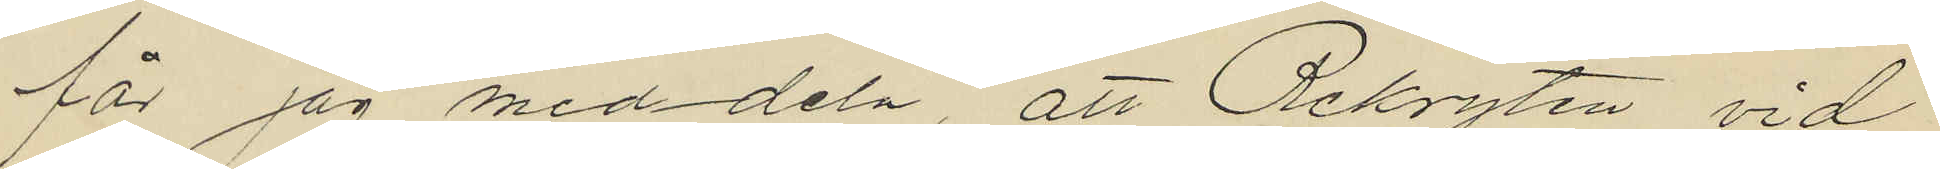får jag meddela, att Rekryten vid
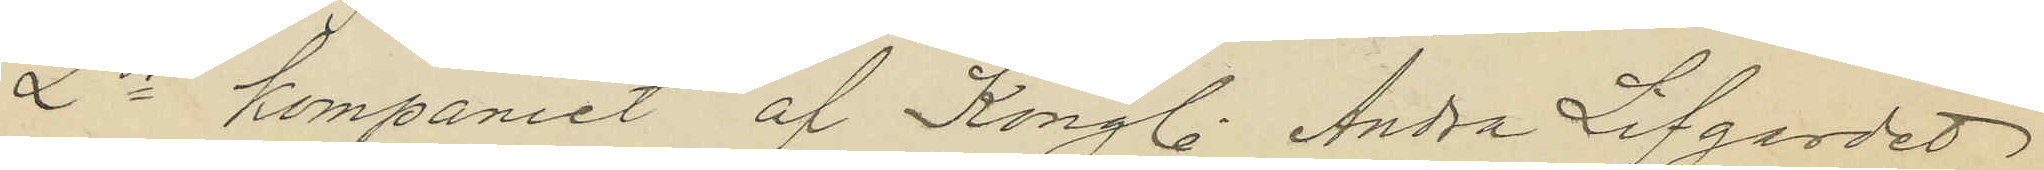2dra kompaniet af Kongl. Andra Lifgardet
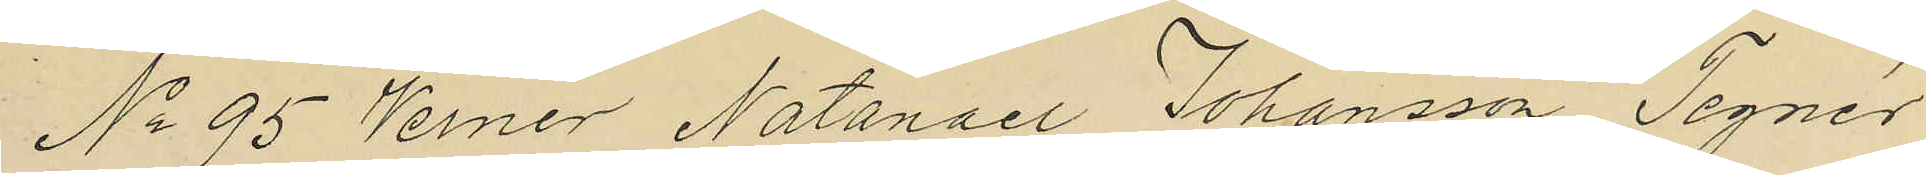No 95 Verner Natanael Johansson Tegnér
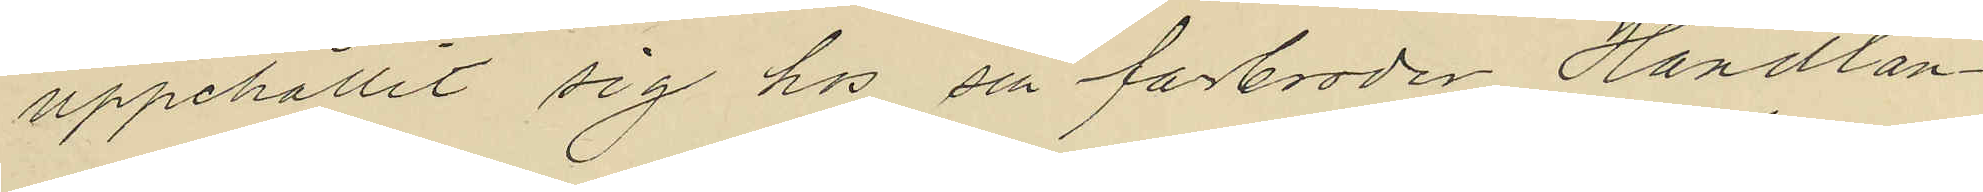uppehållit sig hos sin farbroder Handlan¬
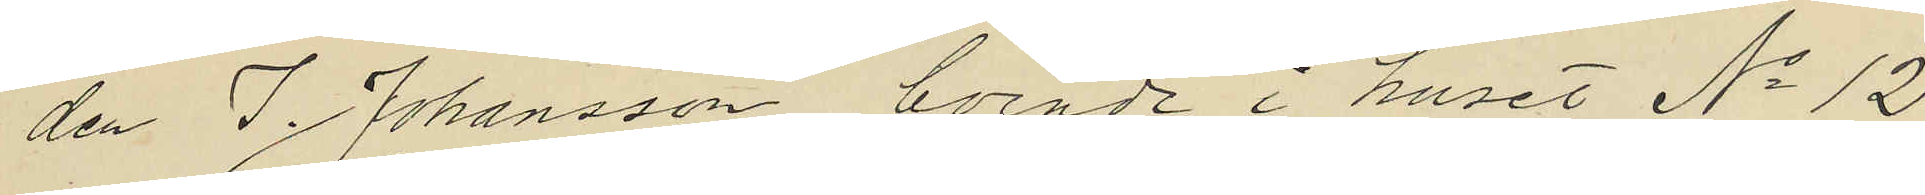den I. Johansson, boende i huset No 12
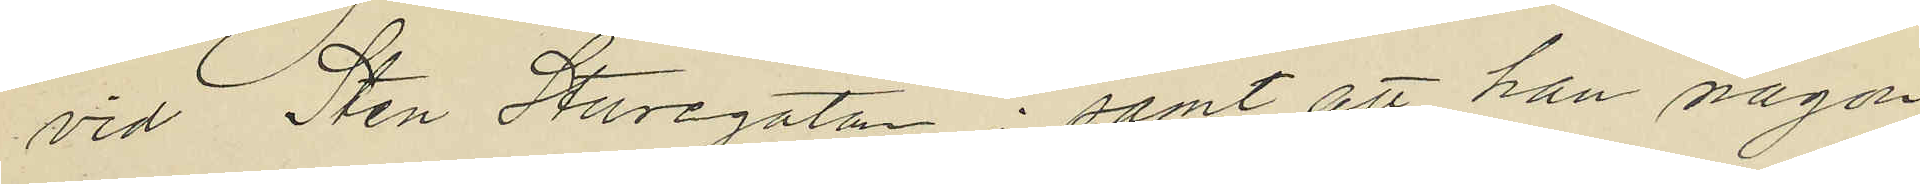vid Sten Sturegatan; samt att han någon
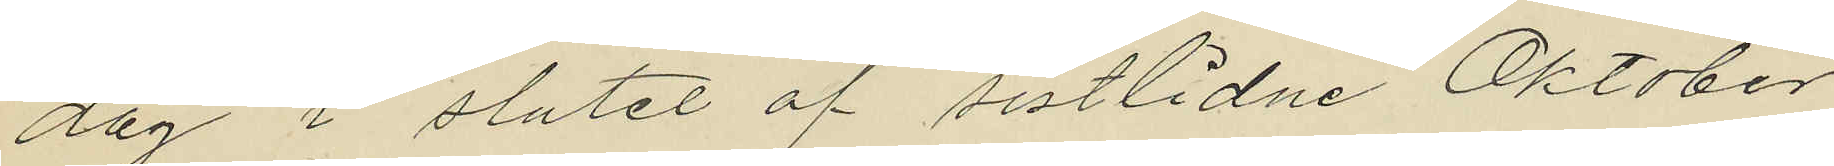dag i slutet af sistlidne Oktober
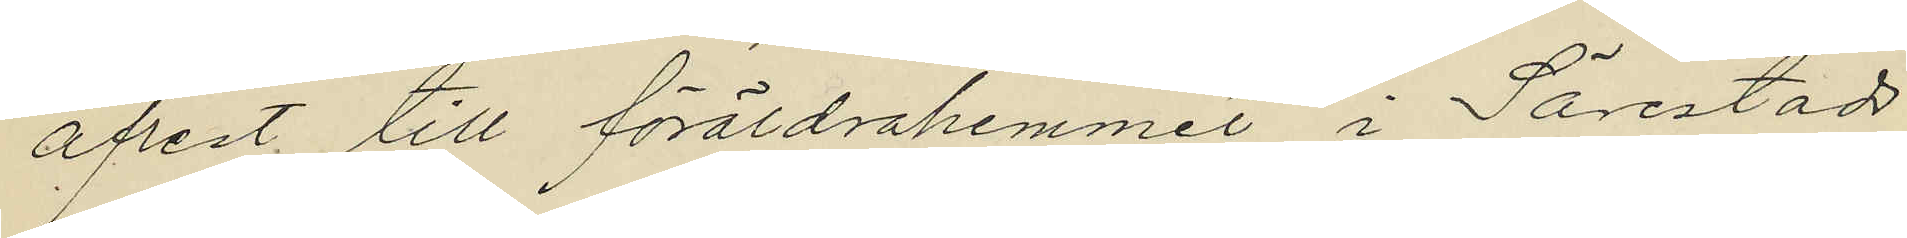afrest till föräldrahemmet i Särestads
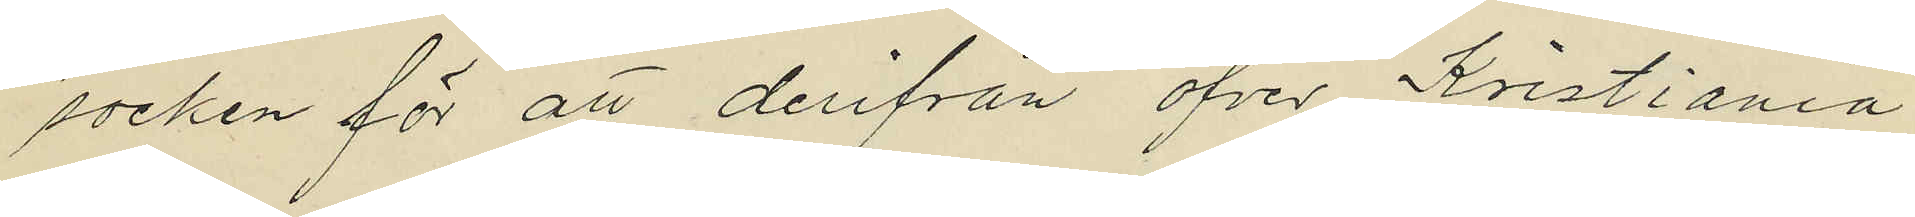socken för att derifrån öfver Kristiania
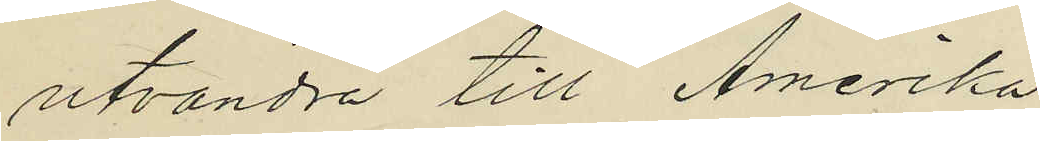utvandra till Amerika.
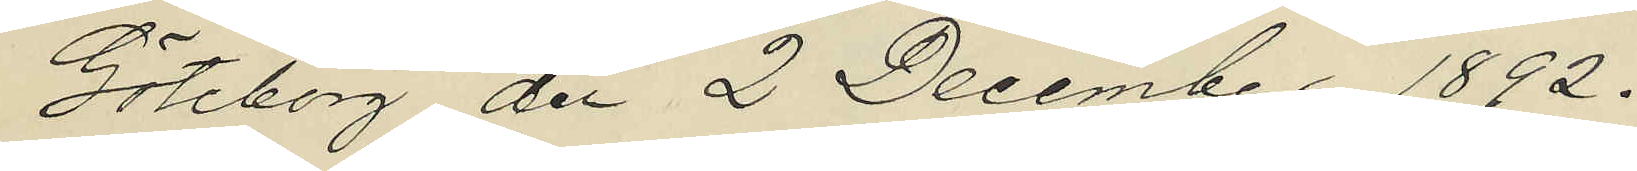Göteborg den 2 December 1892.
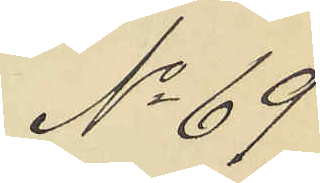No 69
